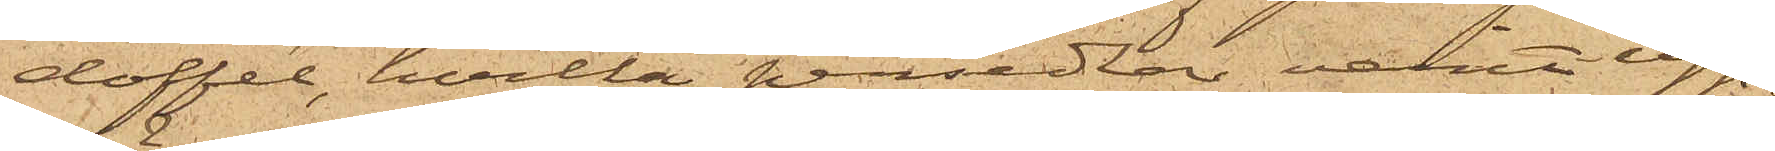doffel, hvilka persedlar varit upp¬
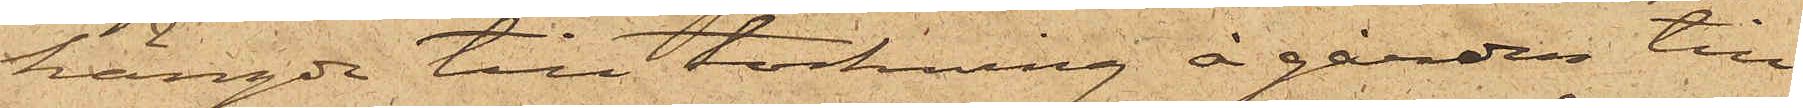hängde till torkning å gården till
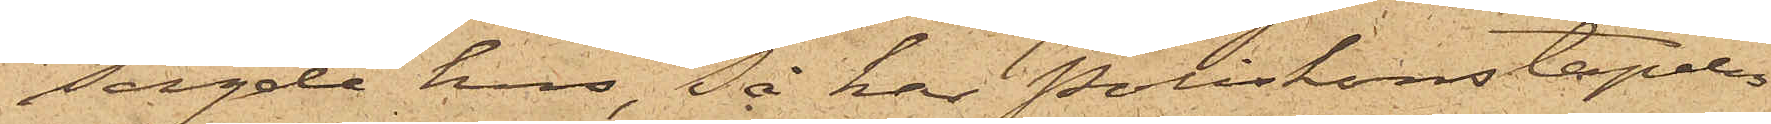sagde hus, Så har Poliskonstapeln
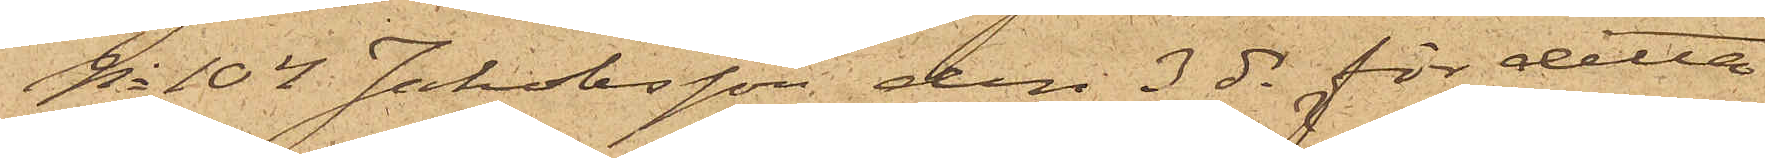No 104 Jakobsson den 3 ds för detta
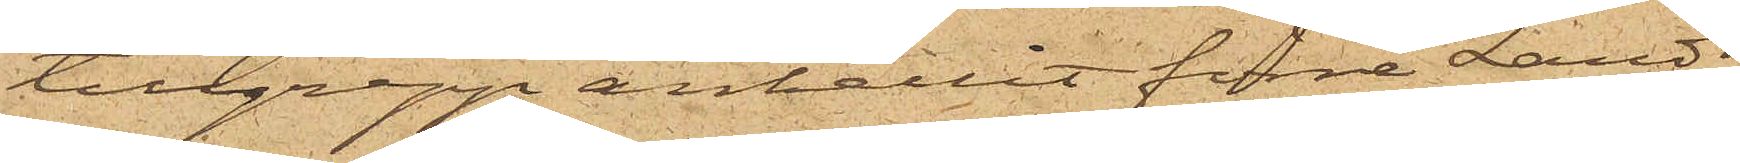tillgrepp anhållit förre Landt¬
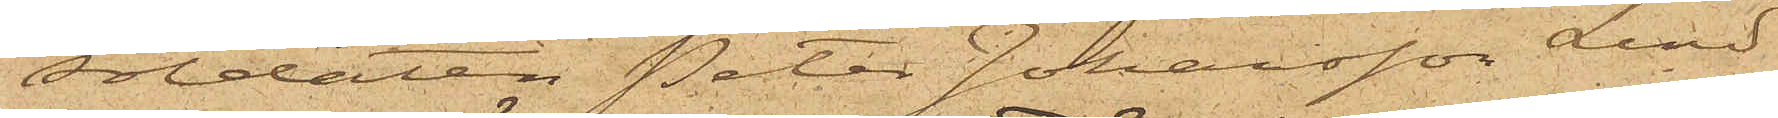soldaten Peter Johansson Lind
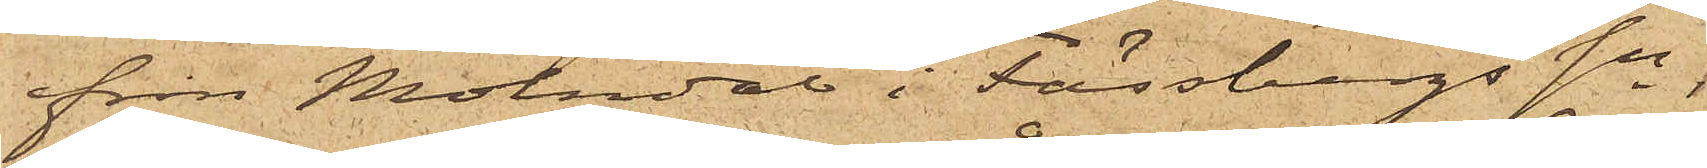från Mölndal i Fässbergs Sn,
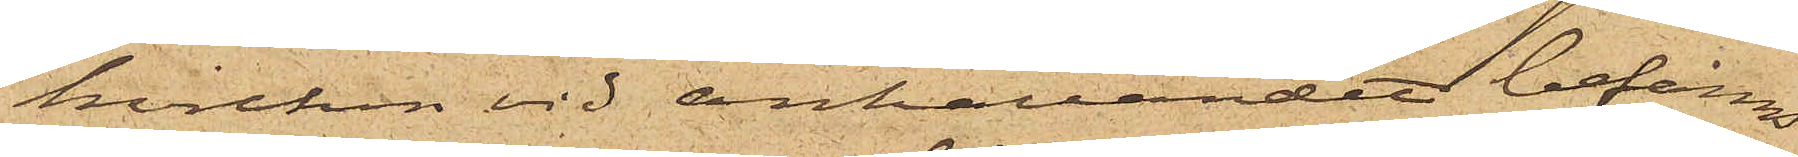hvilken vid anhållandet befanns
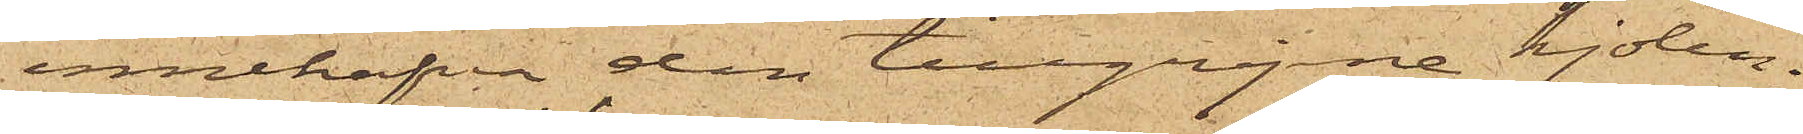innehafva den tillgripne kjolen;
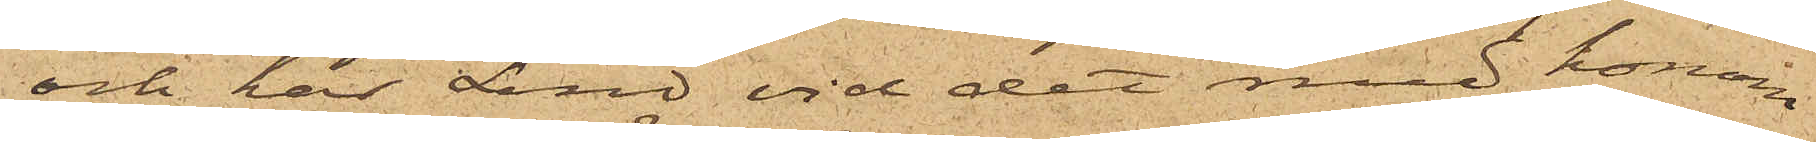och har Lind vid det med honom
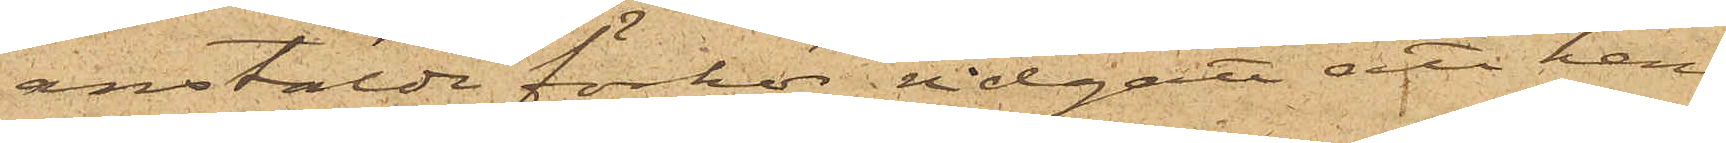anstälde förhör vidgått att han,
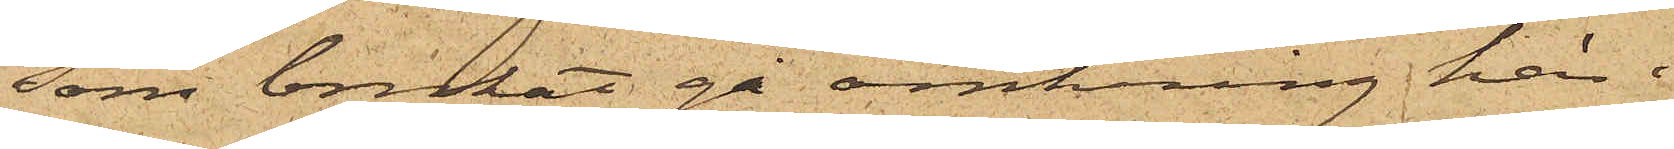som brukat gå omkring här i
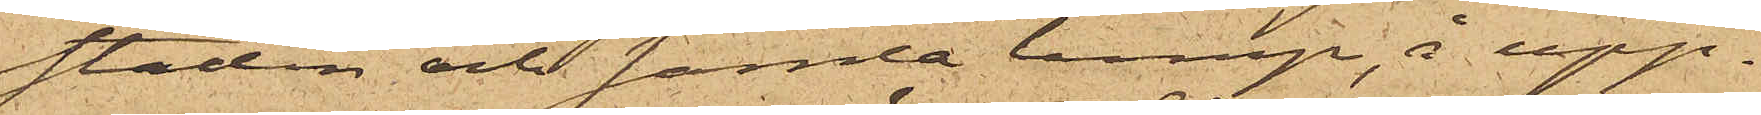staden och samla lump, å upp¬
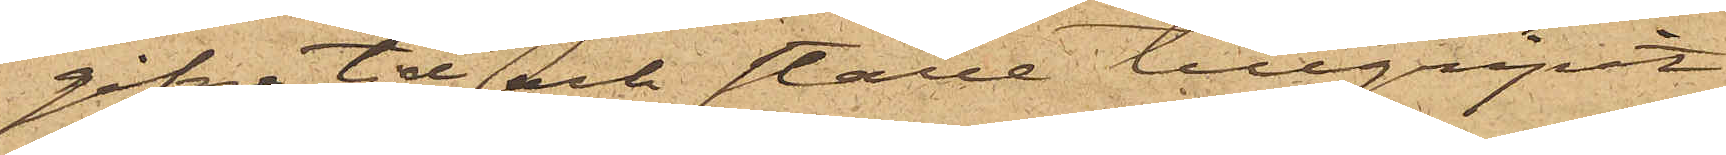gifne tid och ställe tillgripit
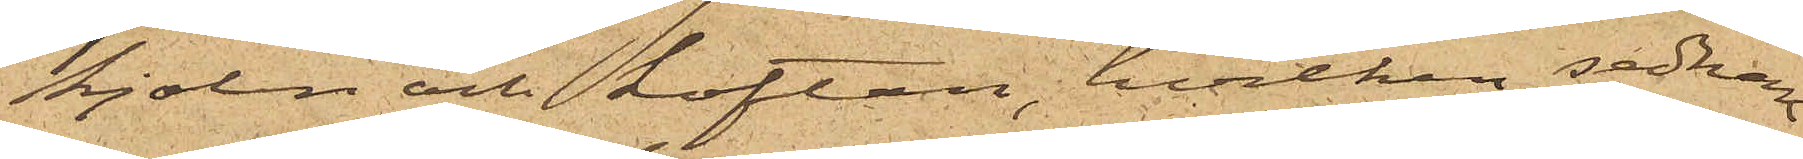kjolen och koftan, hvilken sednare
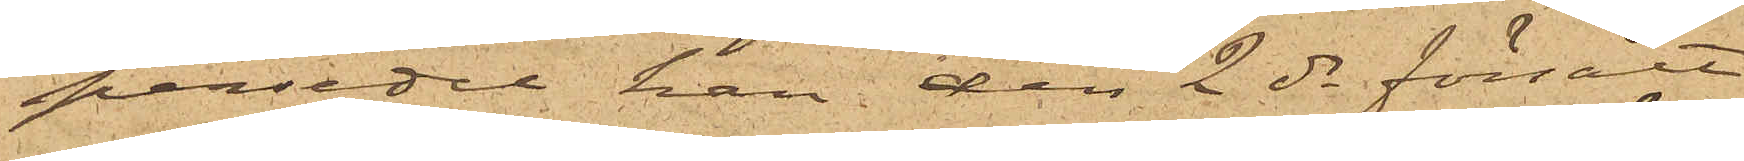persedel han den 2 ds försålt
